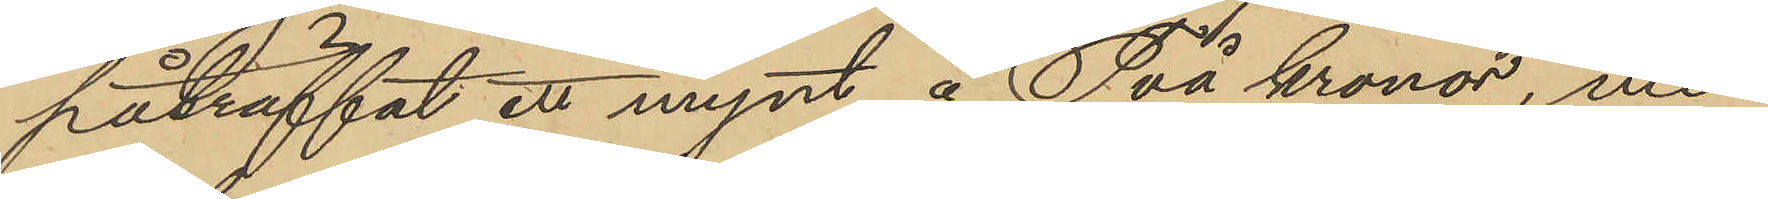påträffat ett mynt å Två kronor, men
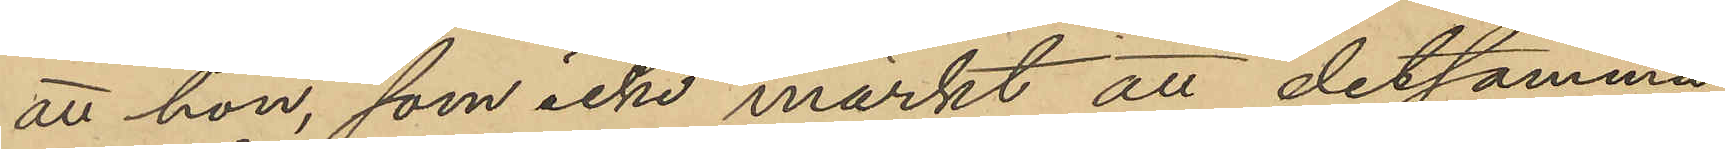att hon, som icke märkt att detsamma
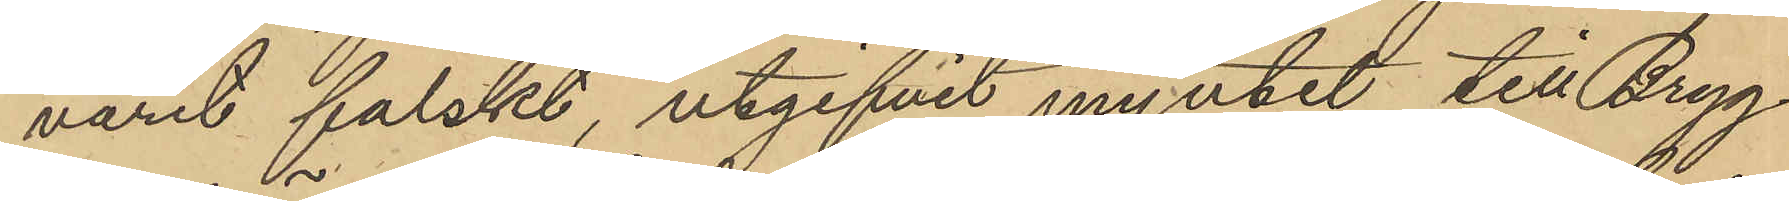varit falskt, utgifvit myntet till Bryg¬
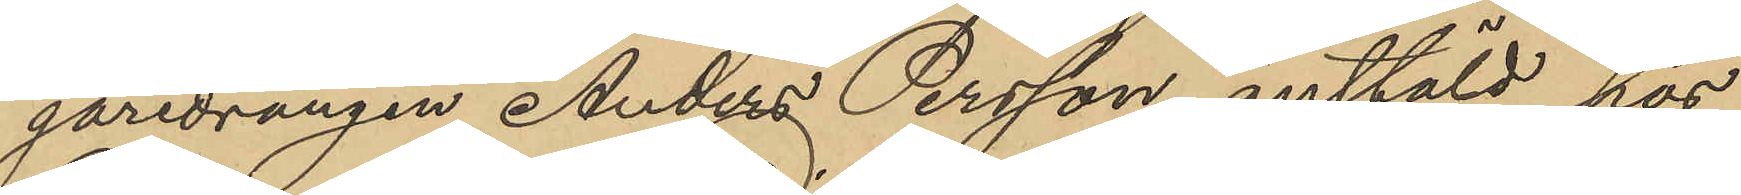garedrängen Anders Persson, anstäld hos
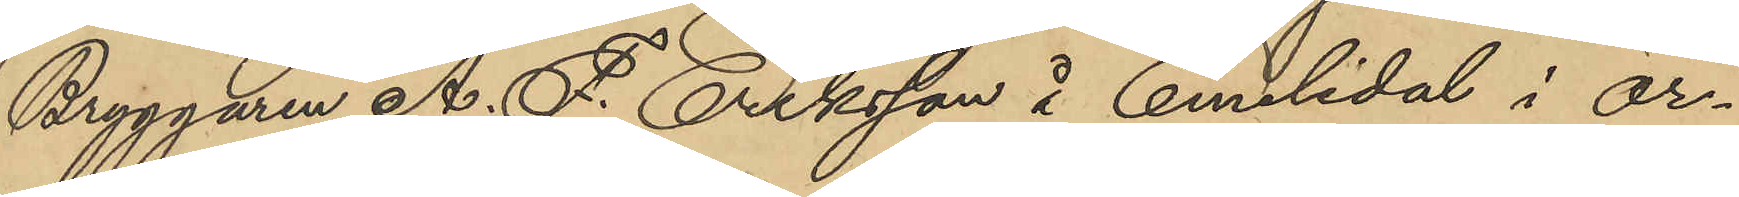Bryggaren A. F. Eriksson å Emelidal i Ör¬
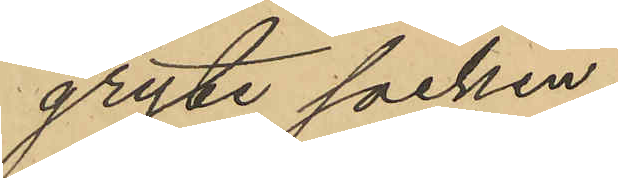gryte socken.
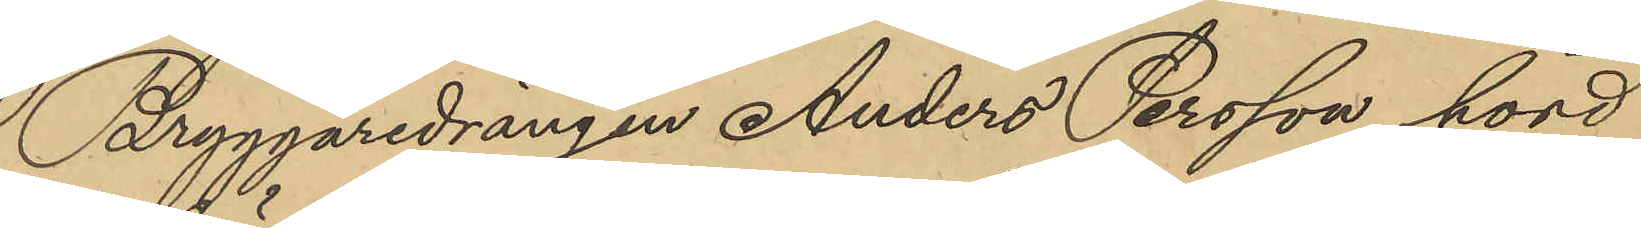Bryggaredrängen Anders Persson hörd
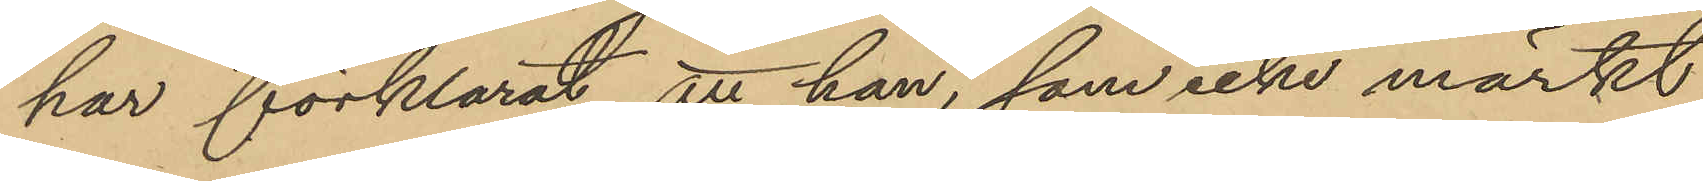har förklarat, att han, som icke märkt
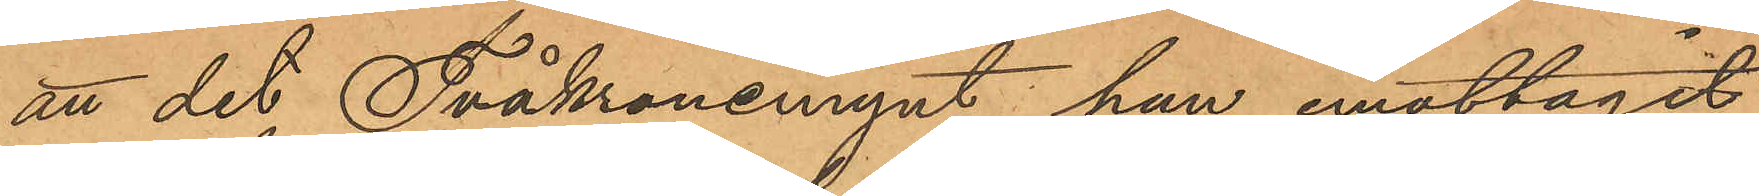att det Tvåkronemynt han emottagit
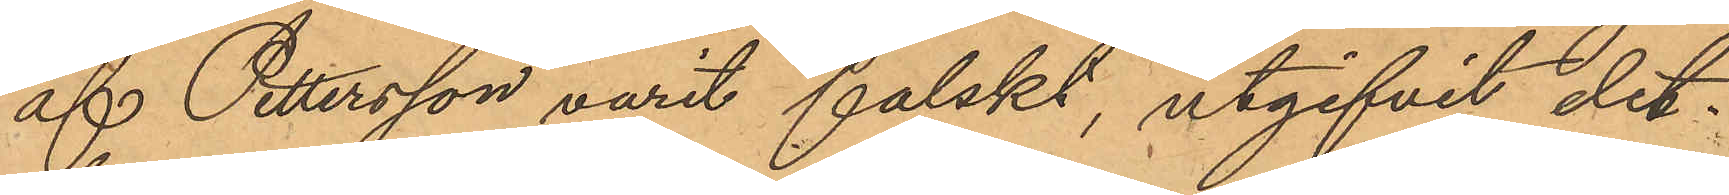af Pettersson varit falskt, utgifvit det¬
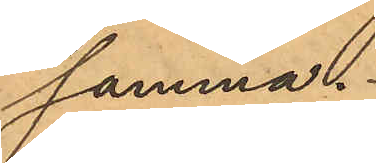samma.
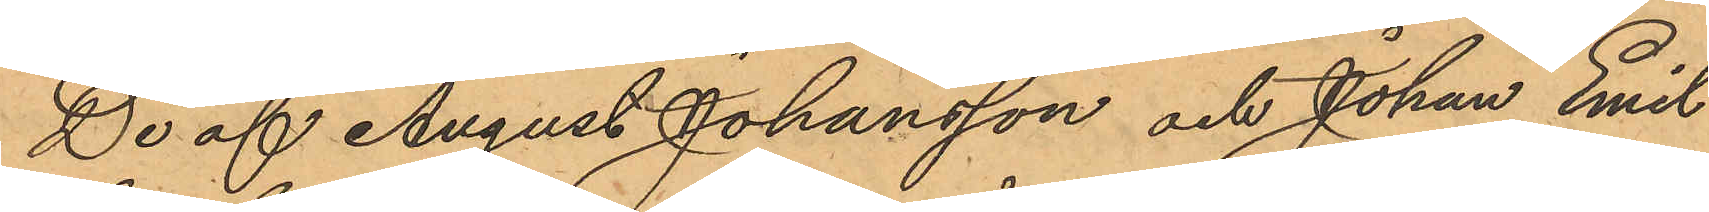De af August Johansson och Johan Emil
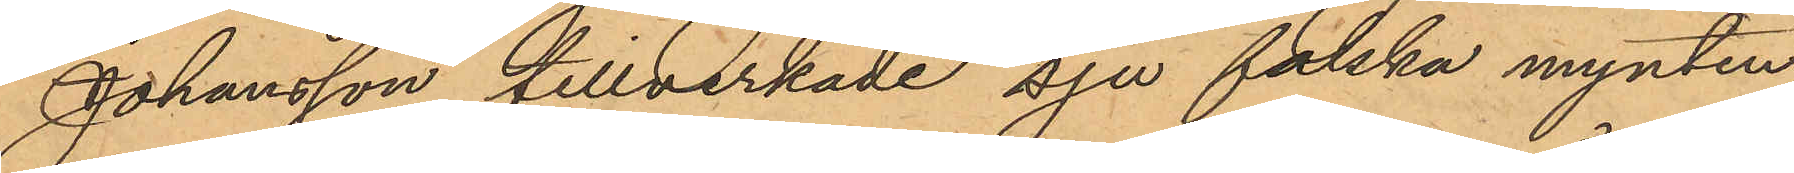Johansson tillverkade sju falska mynten,
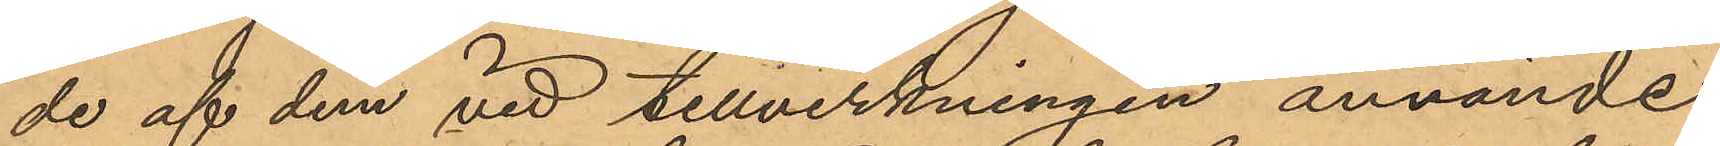de af dem vid tillverkningen använde
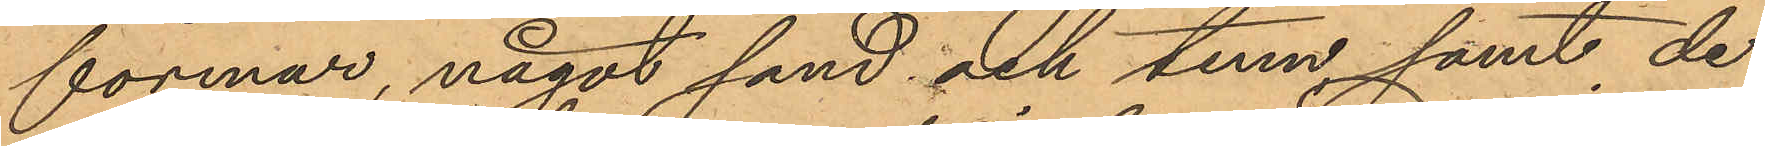formar, något sand och tenn, samt de
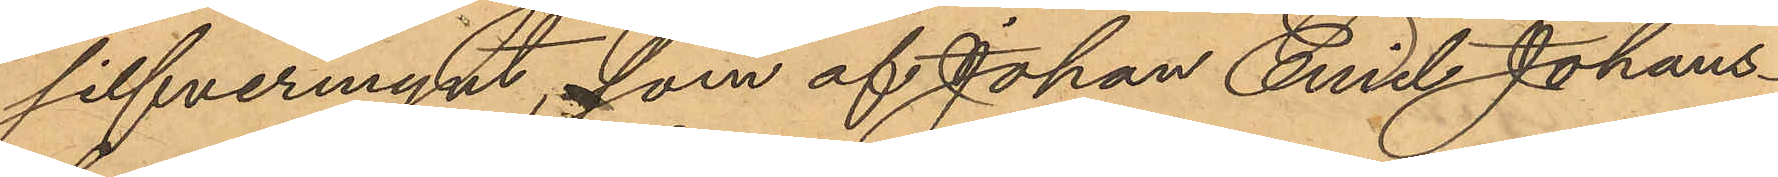silfvermynt, som af Johan Emil Johans¬
